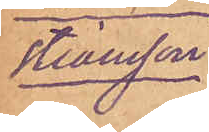stiansson.
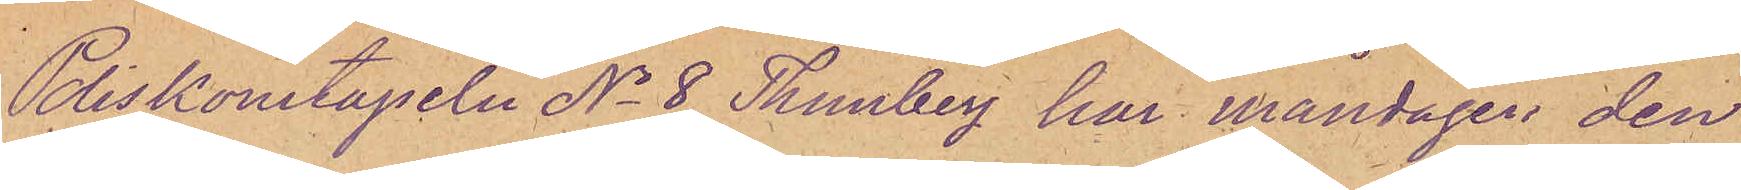Poliskonstapeln No 8 Thunberg har måndagen den
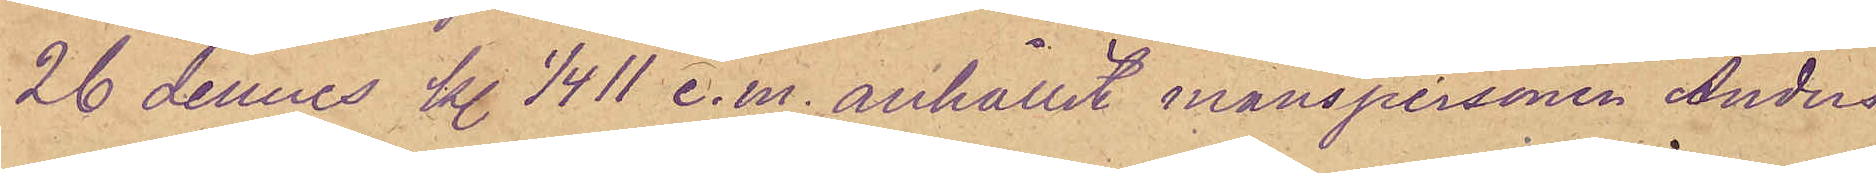26 dennes kl 1/4 11 e.m. anhållit manspersonen Anders
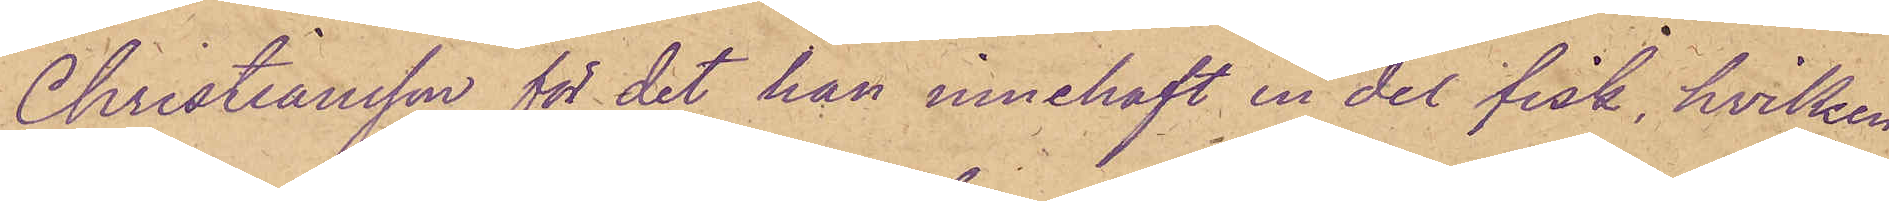Christiansson för det han innehaft en del fisk, hvilken
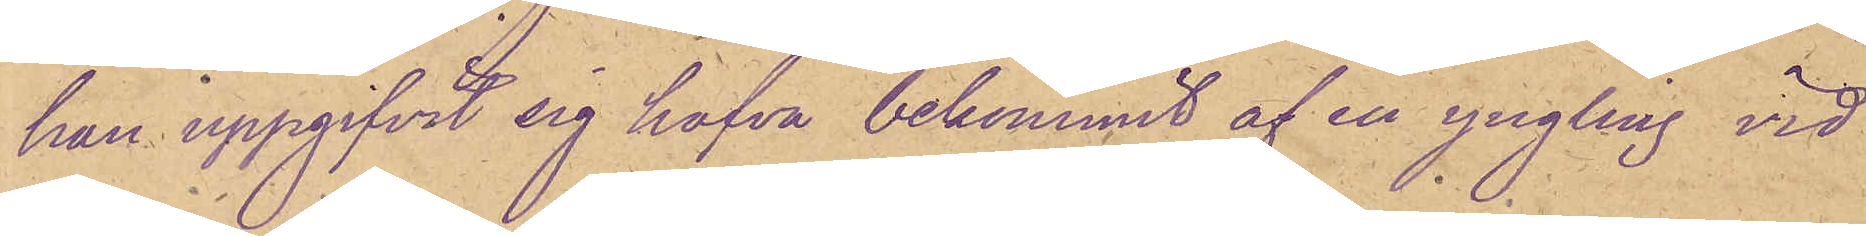han uppgifvit sig hafva bekommit af en yngling vid
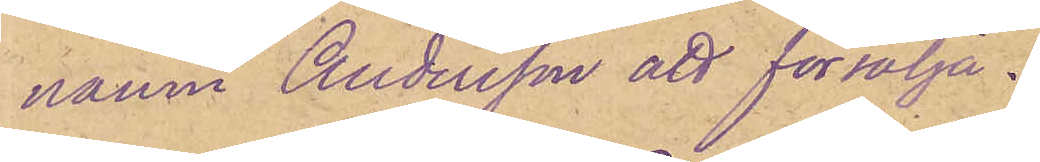namn Andersson att försälja.
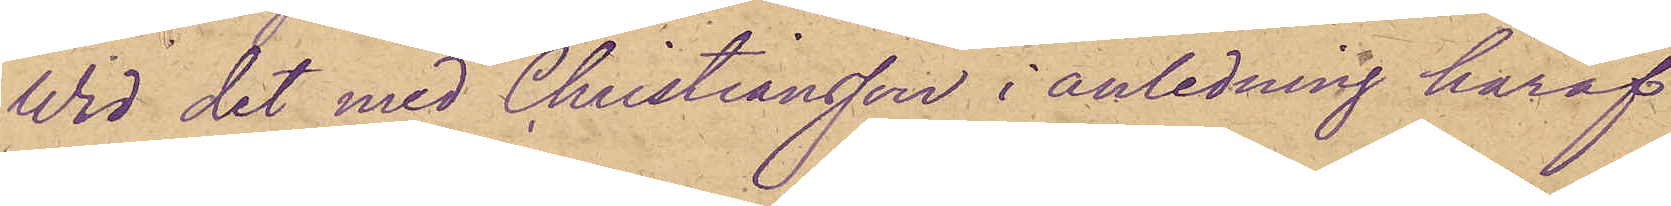Wid det med Christiansson i anledning häraf
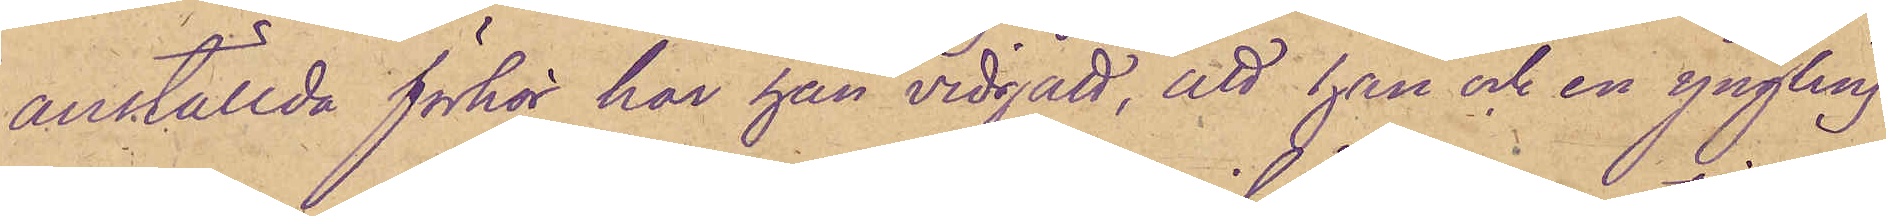anställda förhör har han vidgått, att han och en yngling
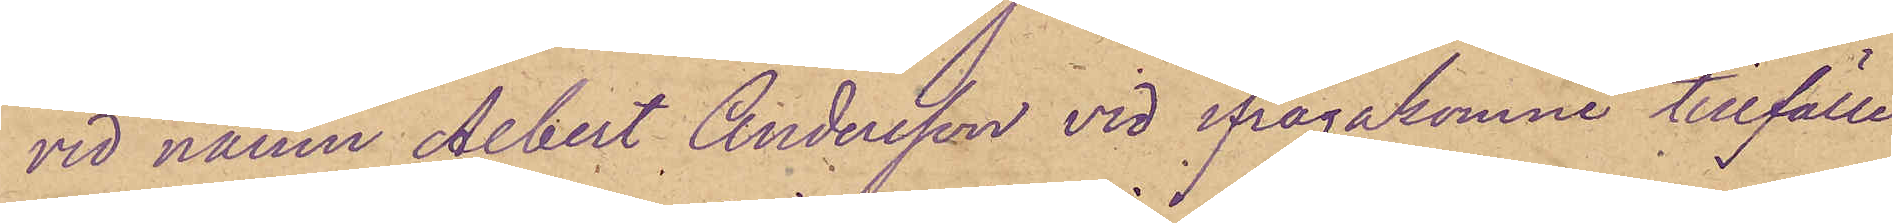vid namn Albert Andersson vid ifrågakomne tillfälle
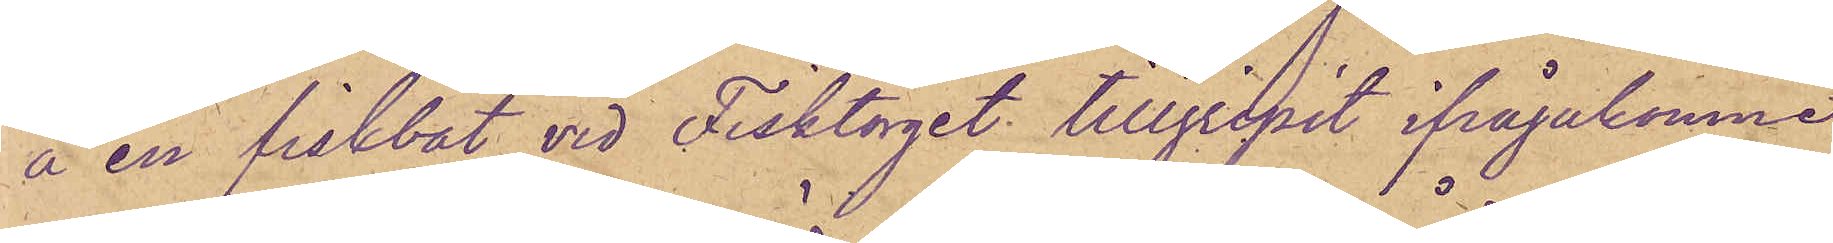å en fiskbåt vid Fisktorget tillgripit ifrågakomne
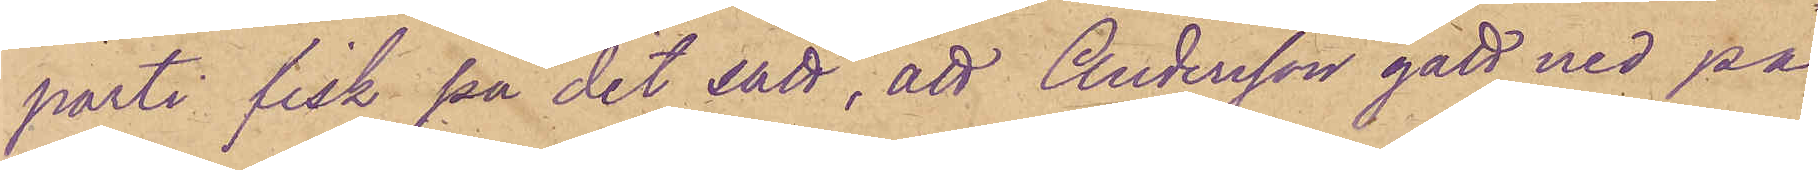parti fisk på det sätt, att Andersson gått ned på
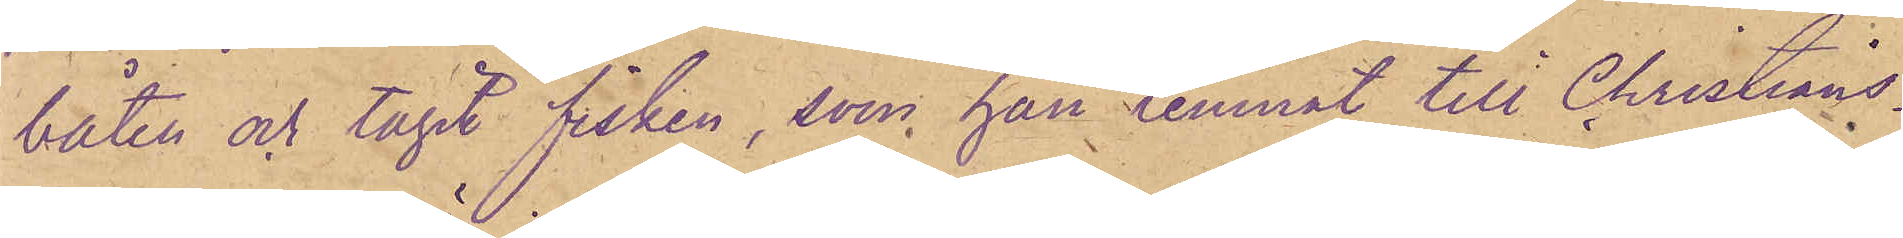båten och tagit fisken, som han lemnat till Christians¬
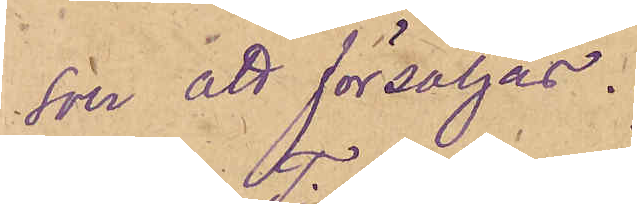son att försäljas.
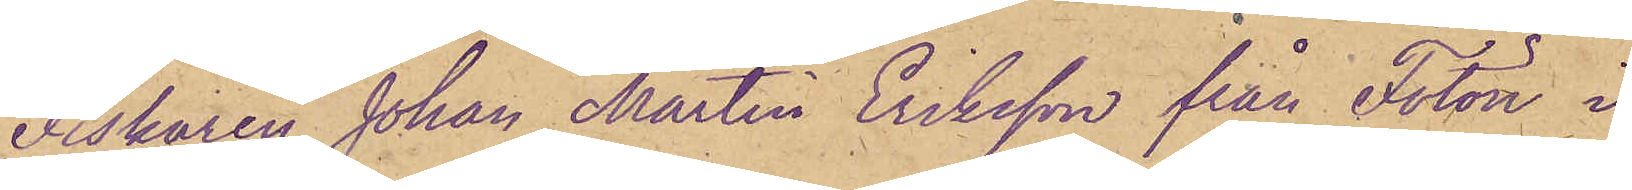Fiskaren Johan Martin Eriksson från Fotön i
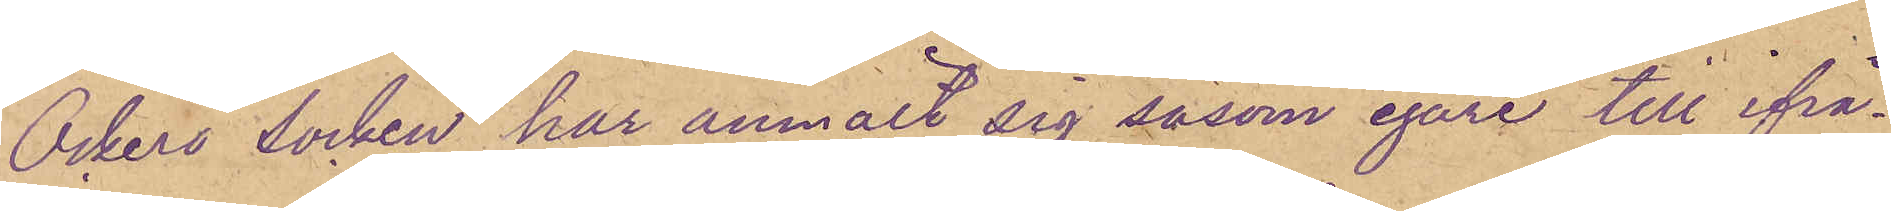Öckerö socken har anmält sig såsom egare till ifrå¬
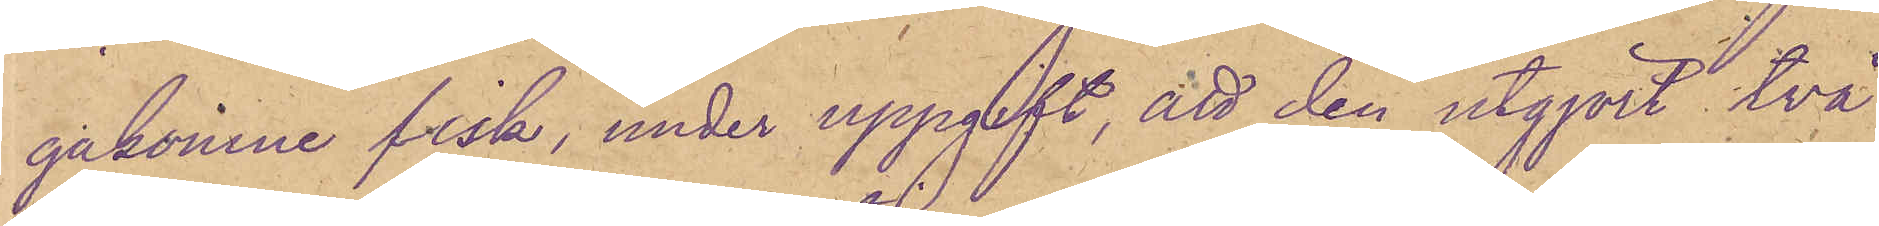gakomne fisk, under uppgift, att den utgjort två
